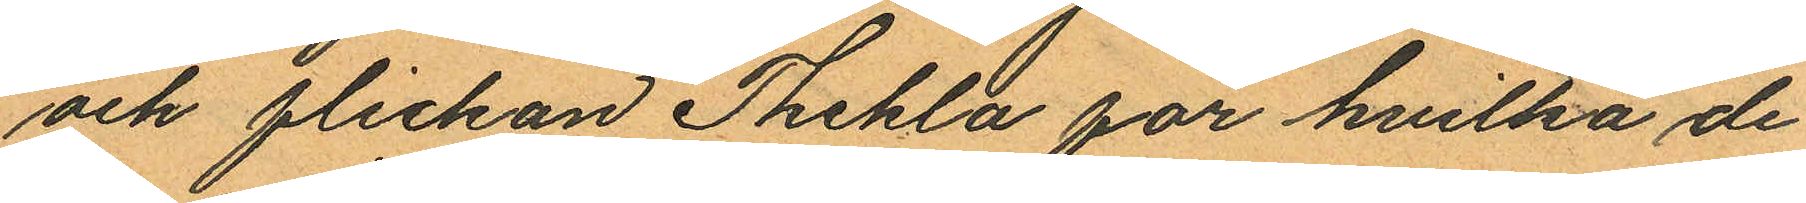och flickan Thekla för hvilka de
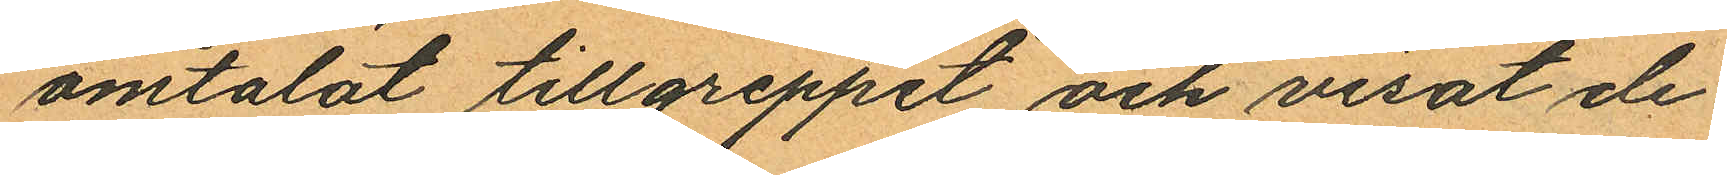omtalat tillgreppet och visat de
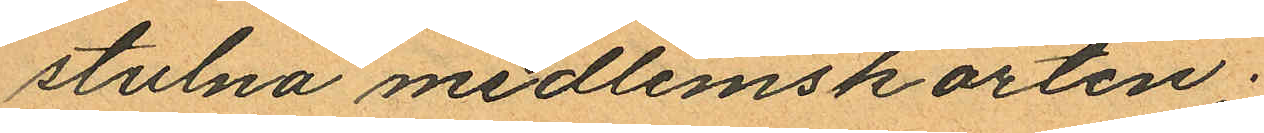stulna medlemskorten;
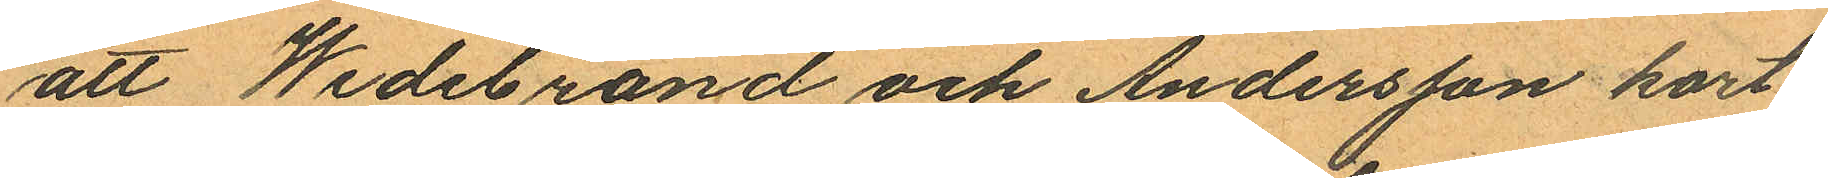att Wedebrand och Andersson kort
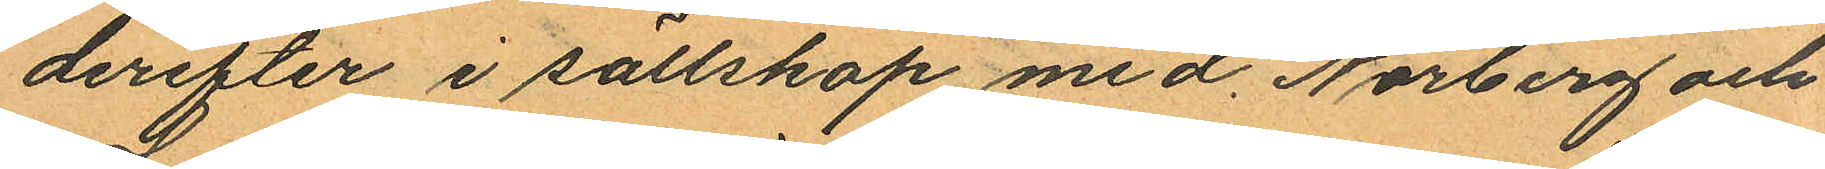derefter i sällskap med. Norberg och
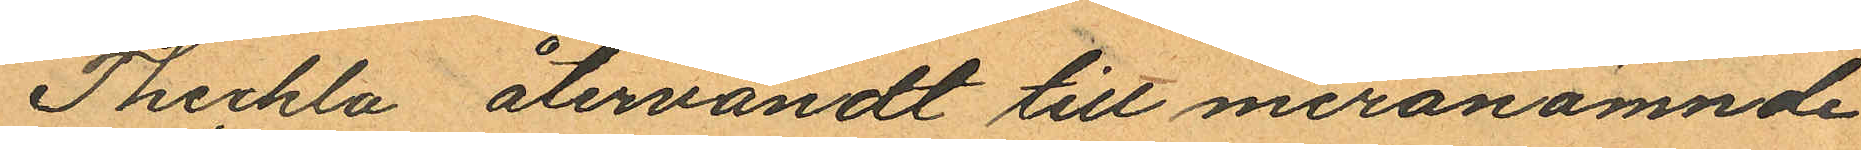Theckla återvändt till meranämnde
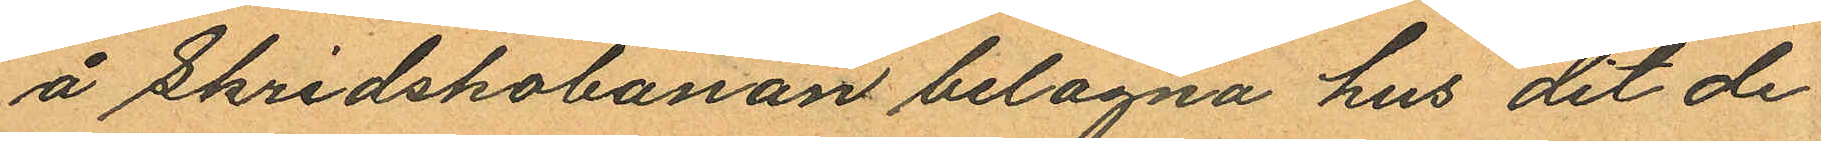å Skridskobanan belägna hus dit de
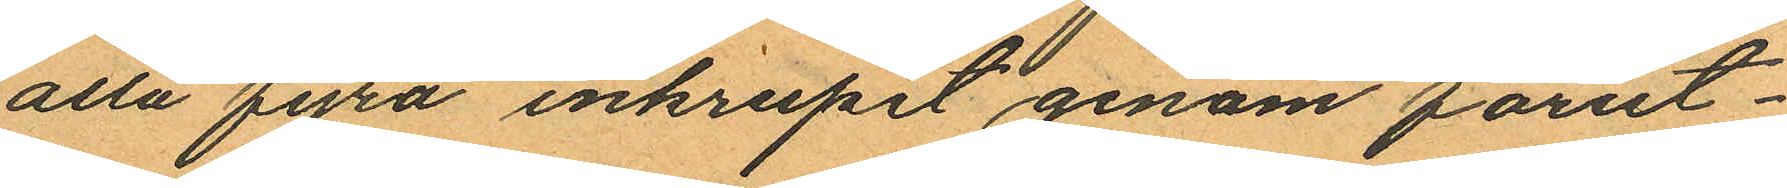alla fyra inkrupit genom förut¬
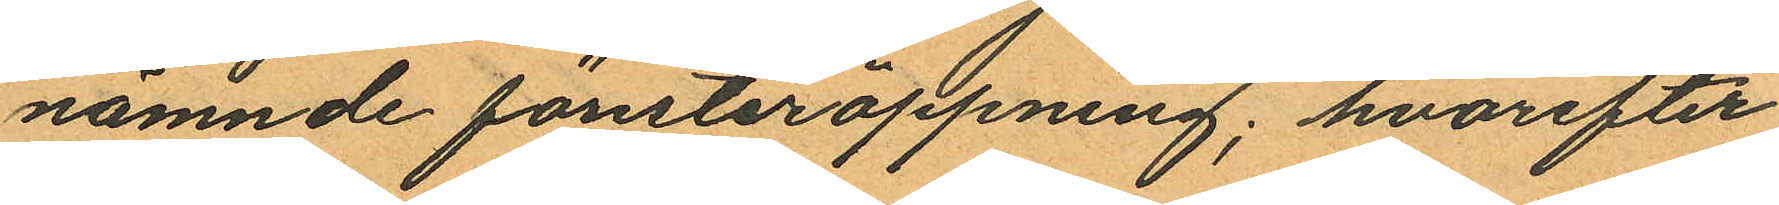nämnde fönsteröppning; hvarefter
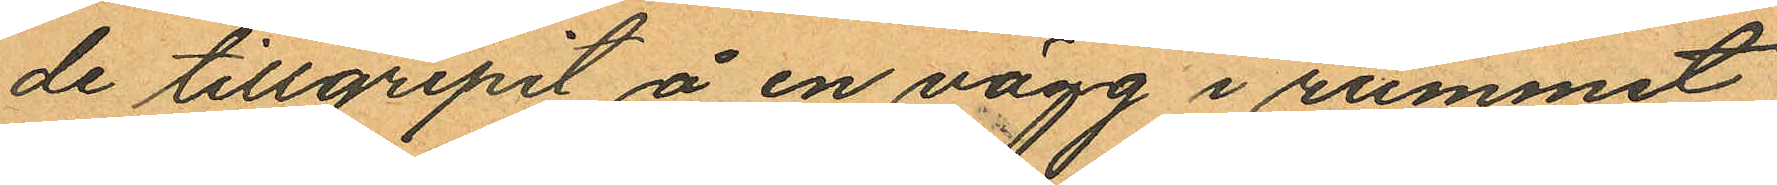de tillgripit å en vägg i rummet
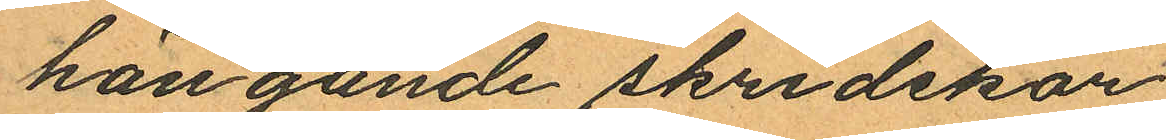hängande skridskor,
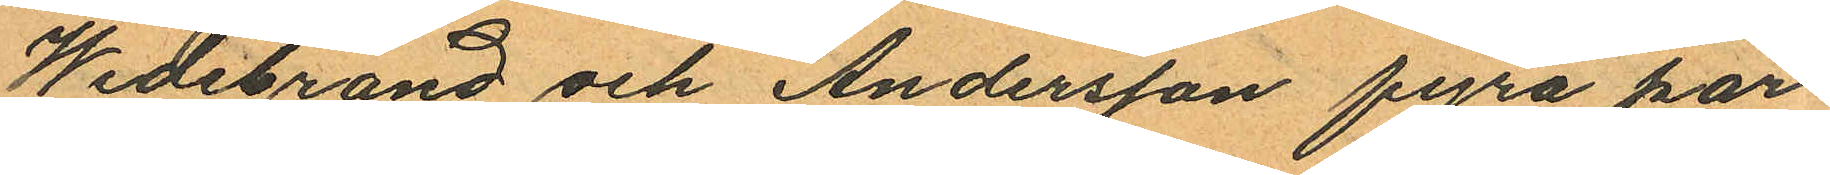Wedebrand och Andersson fyra har
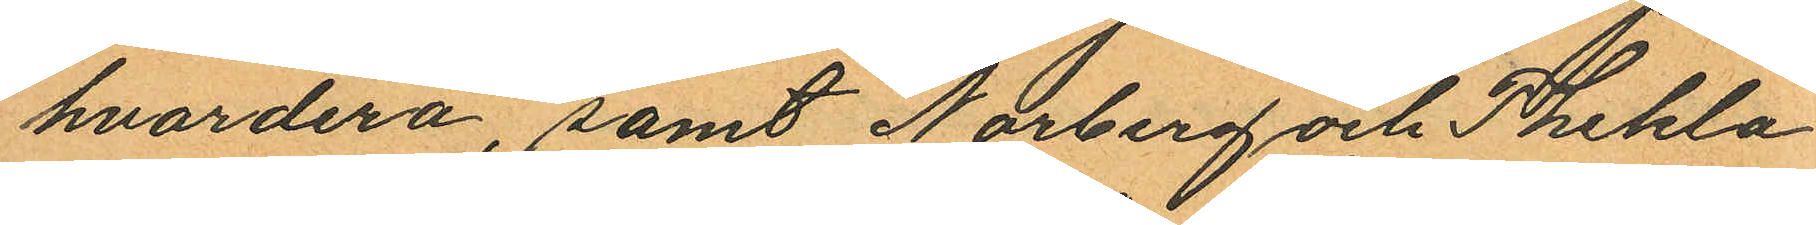hvardera, samt Norberg och Thekla
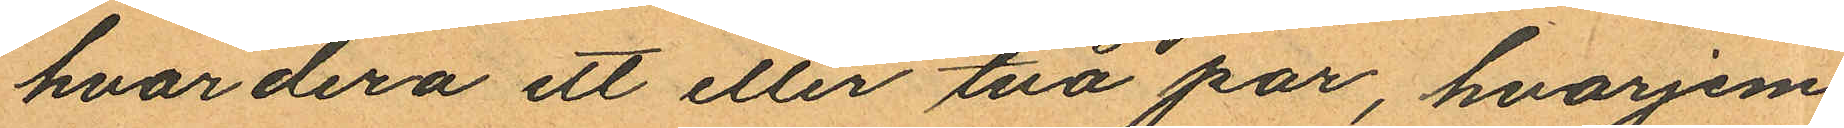hvardera ett eller två par hvarjem
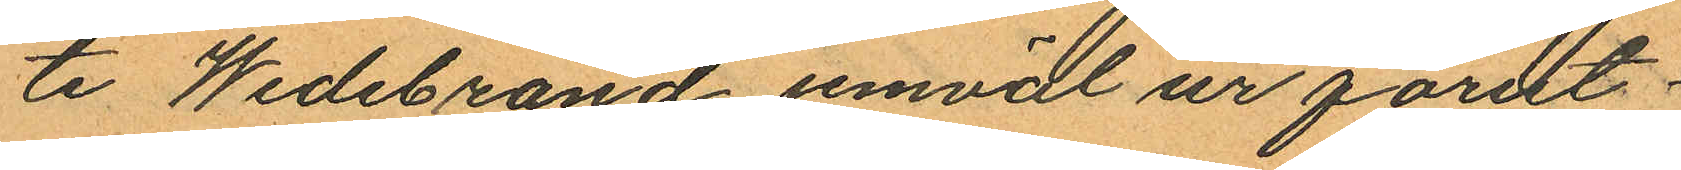te Widebrand jemväl ur förut¬
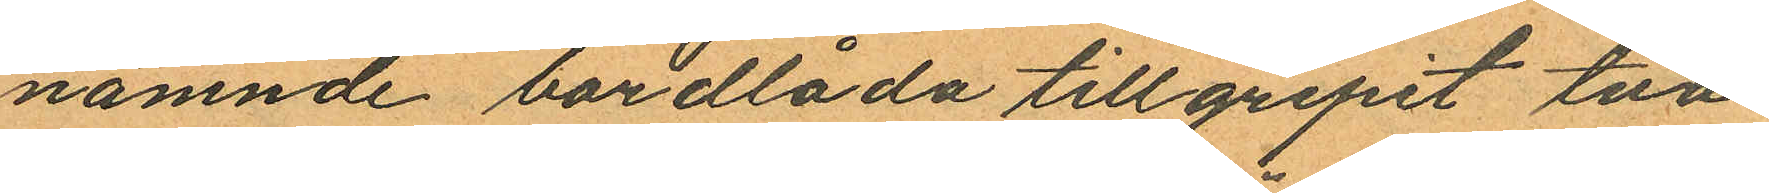nämnde bordlåda tillgripit två
